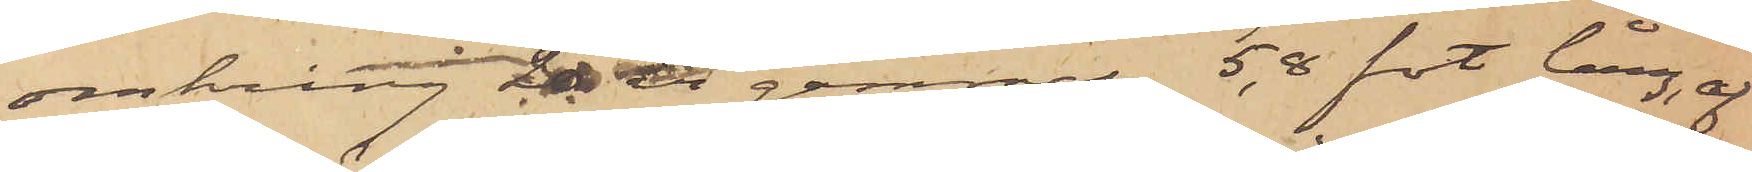omkring 20 år gammal 5,8 fot lång, af
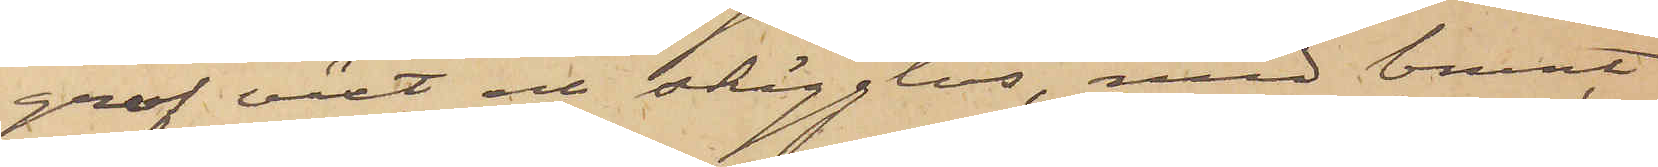grof växt och skägglös, med brunt
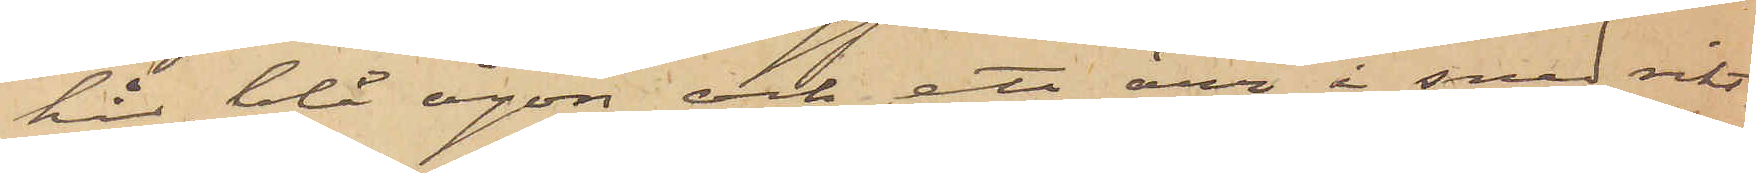hår, blå ögon och ett ärr i sned rikt¬
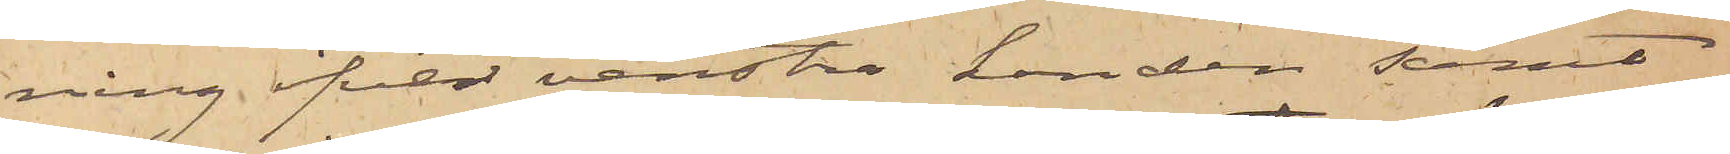ning öfver venstra handen samt
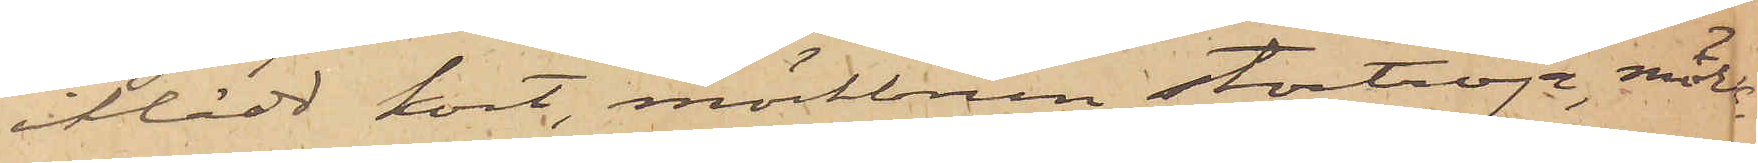iklädd kort, mörkbrun stortröja, mörk¬
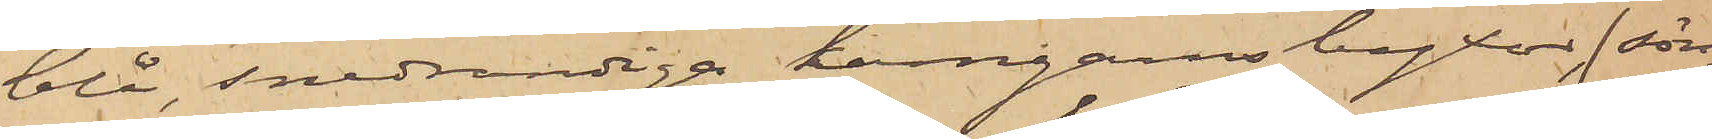blå, snedrandiga kamgarnsbyxor (sön¬
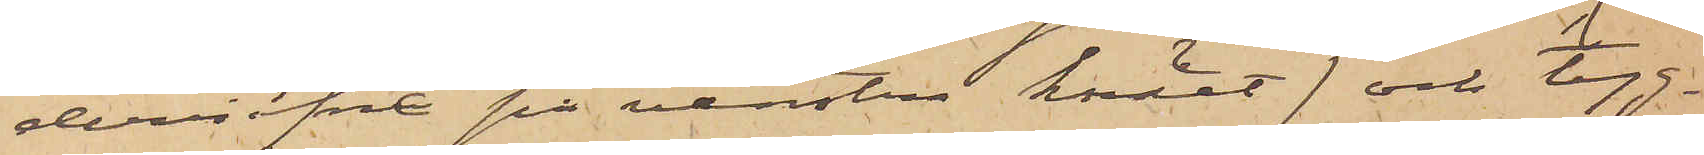derrifne på venstra knäet) och tyg¬
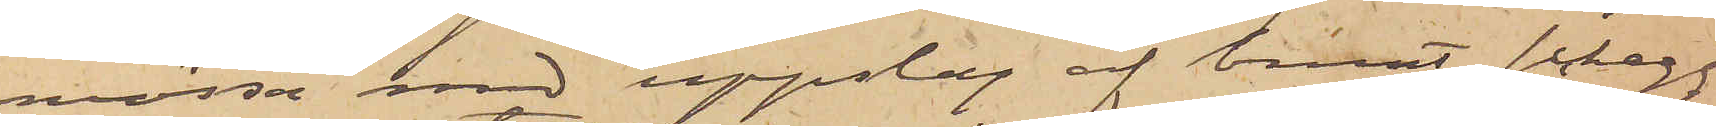mössa med uppslag af brunt schagg
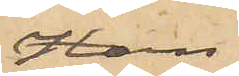Han
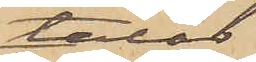talar
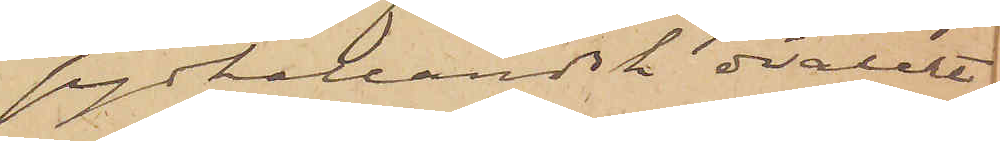sydhalländsk dialekt
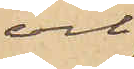och
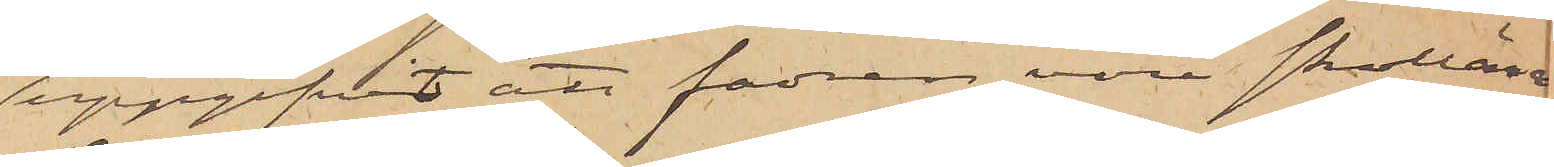uppgifvit att fadren vore skollära¬
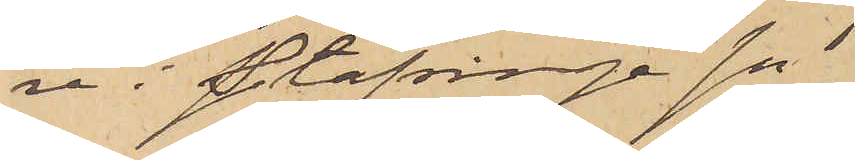re i Stafsinge sn.
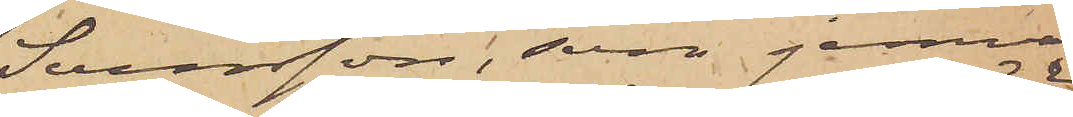Svensson, som jemväl
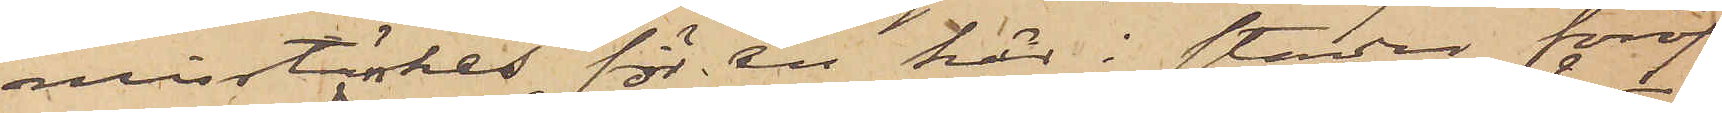misstänkes för en här i staden föröf¬
